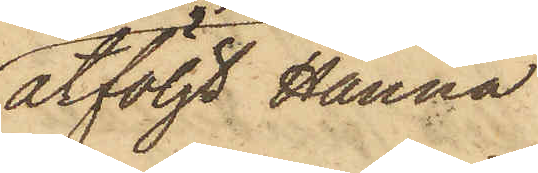åtföljt Hanna
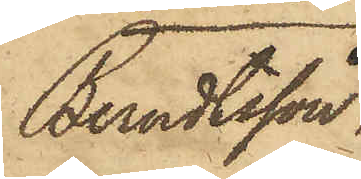Berndtsson,
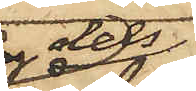dels
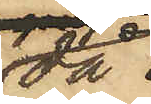då
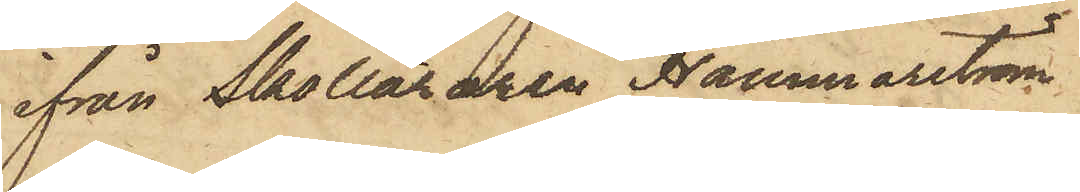ifrån Skolläraren Hammarström
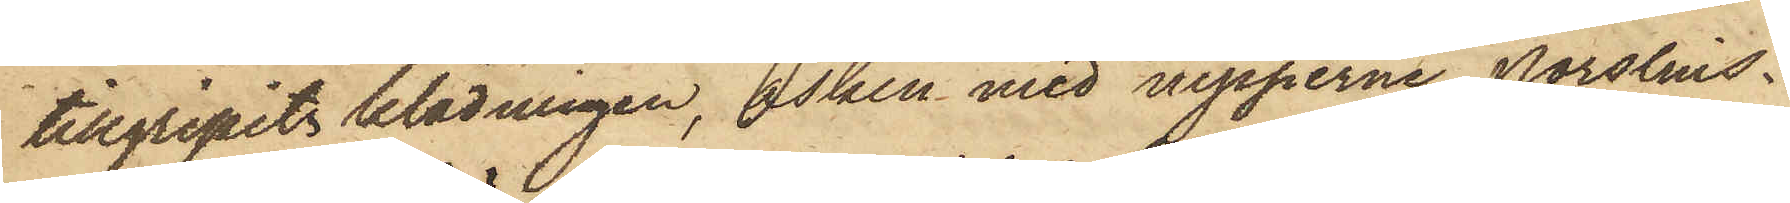tillgripits klädningen, asken med nipperne, porslins¬
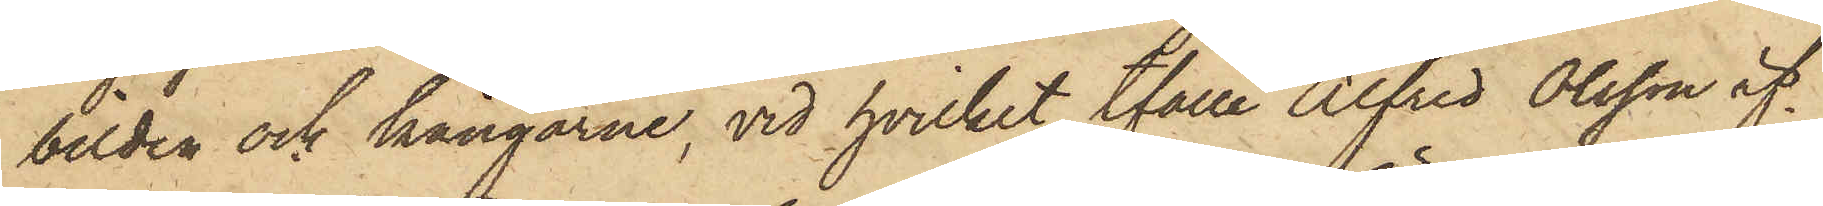bilden och kängorne, vid hvilket tfälle Alfred Olsson äf¬
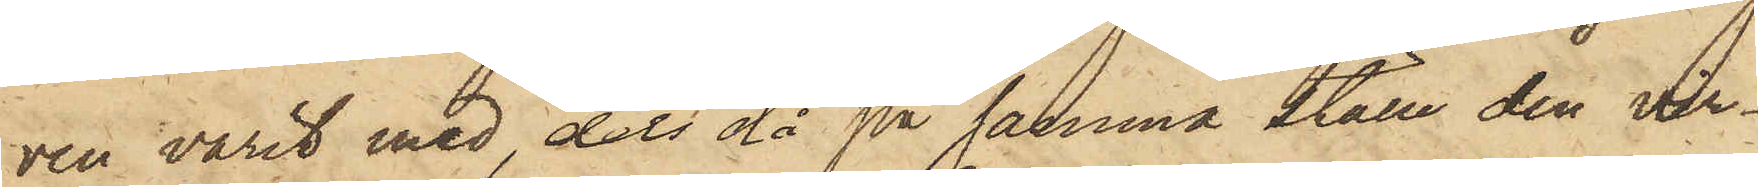ven varit med, dels då på samma ställe den vir¬
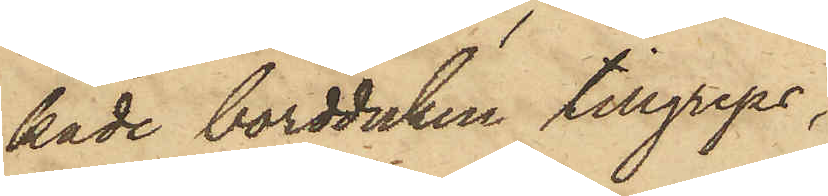kade bordduken tillgreps;
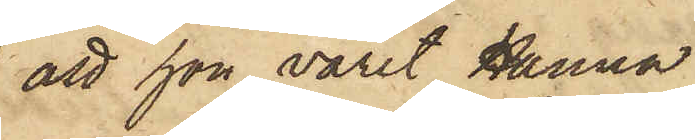att hon varit Hanna
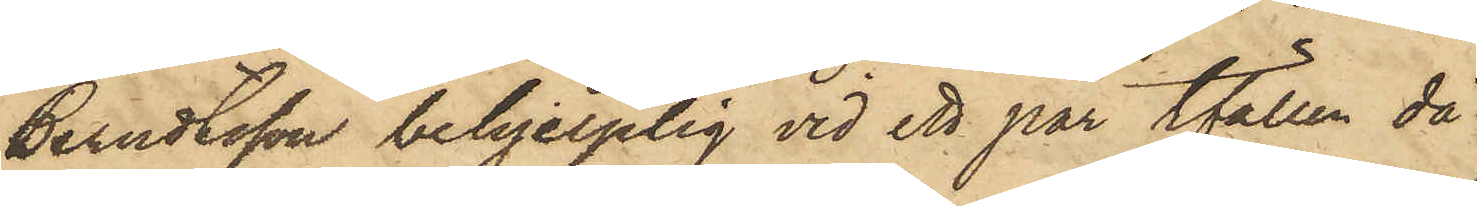Berndtsson behjelplig vid ett par tfällen då
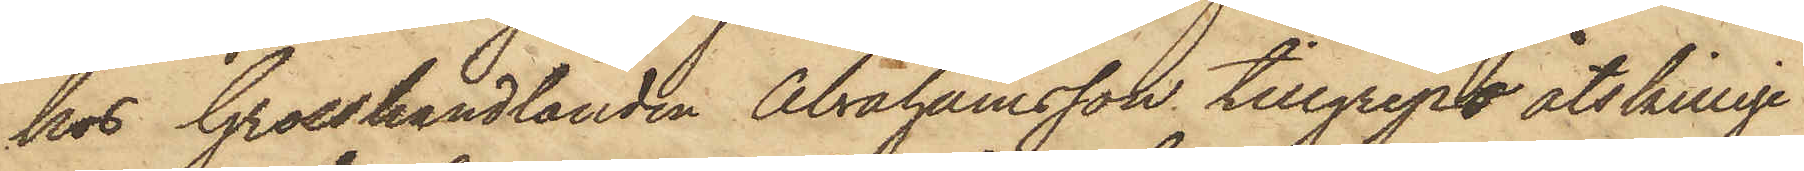hos Grosshandlanden Abrahamsson tillgrepo åtskillige
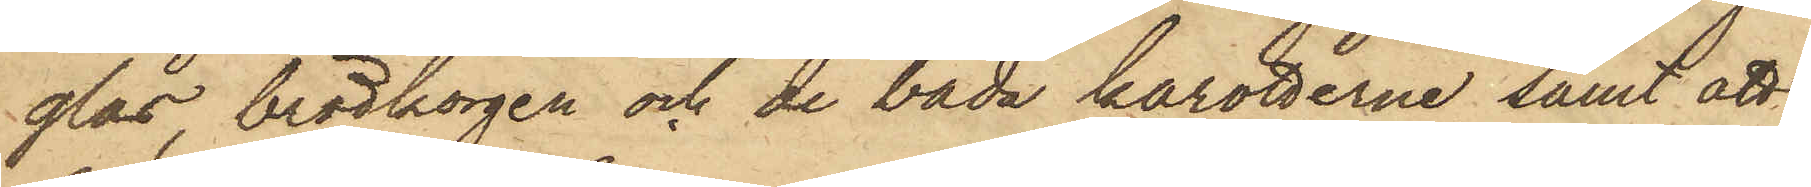glas, brödkorgen och de båda karotterne samt att
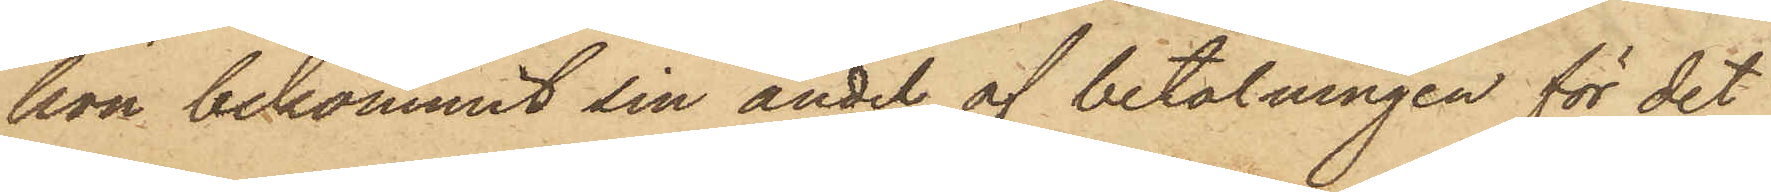hon bekommit sin andel af betalningen för det
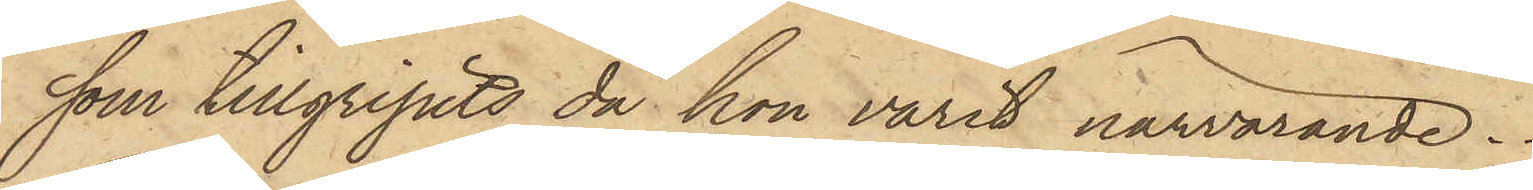som tillgripits då hon varit närvarande.
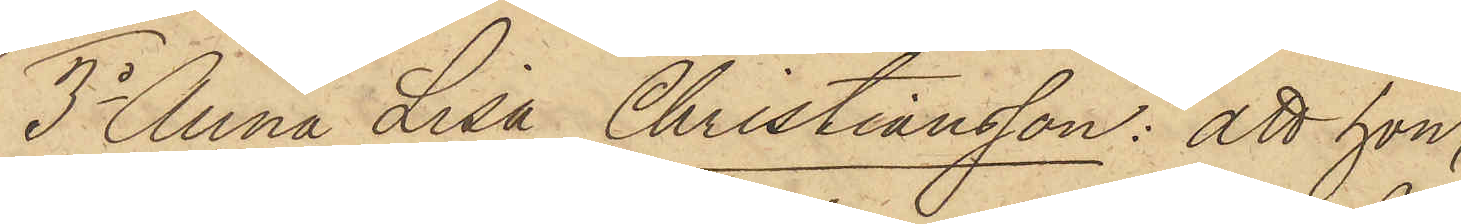3o Anna Lisa Christiansson: att hon,
